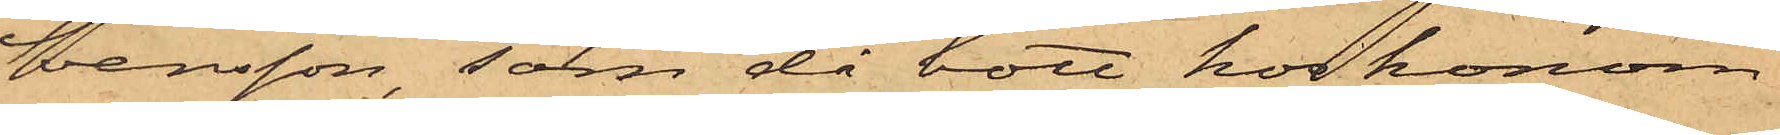Svensson, som då bott hos honom
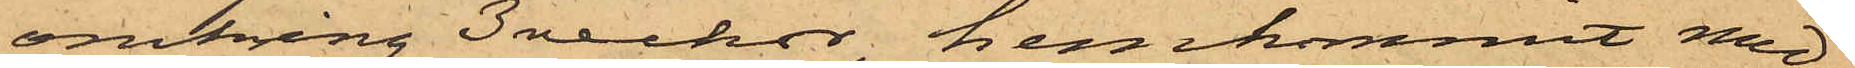omkring 3 veckor, hemkommit med¬
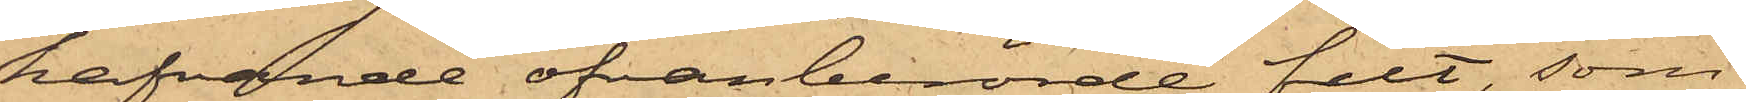hafvande ofvanberörde filt, som
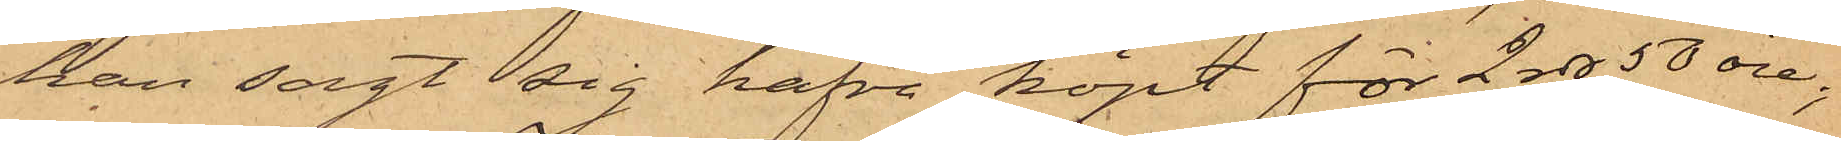han sagt sig hafva köpt för 2 rdr 50 öre;
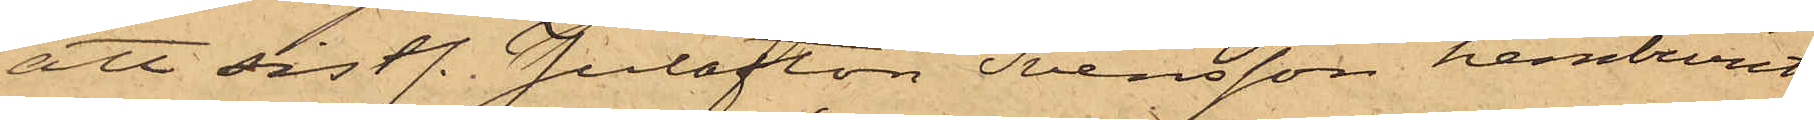att sistl. Julafton Svensson hemburit
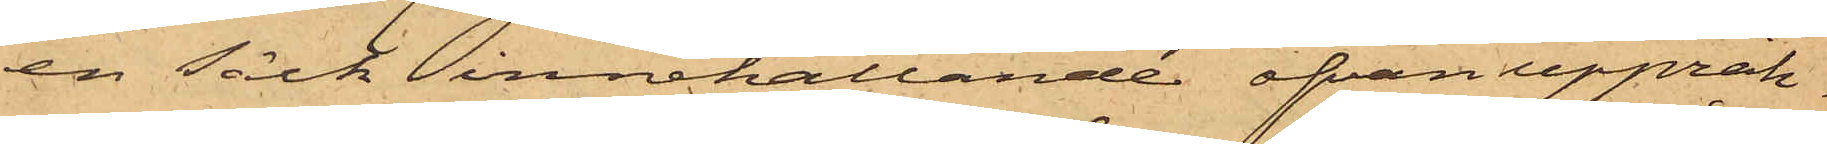en Säck innehållande ofvan uppräk¬
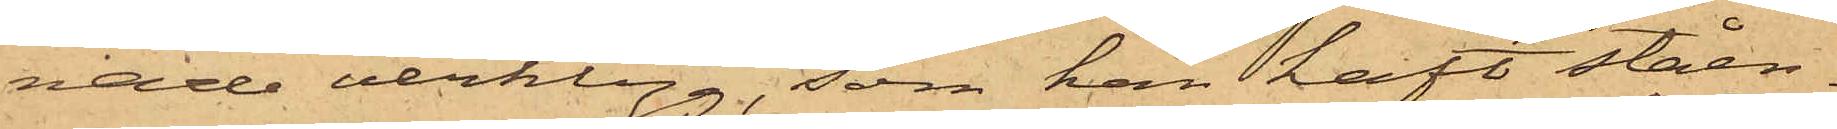nade verktyg, som han haft ståen¬
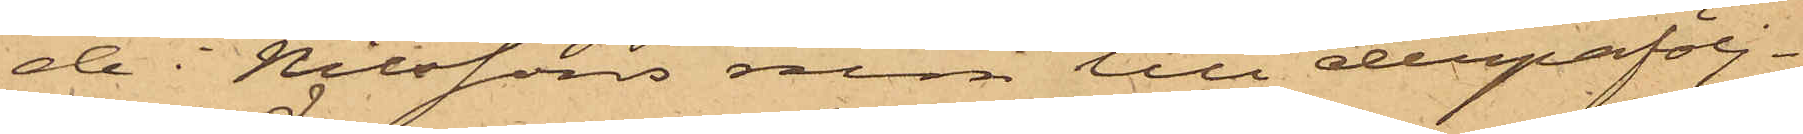de i Nilssons rum till derpåfölj¬
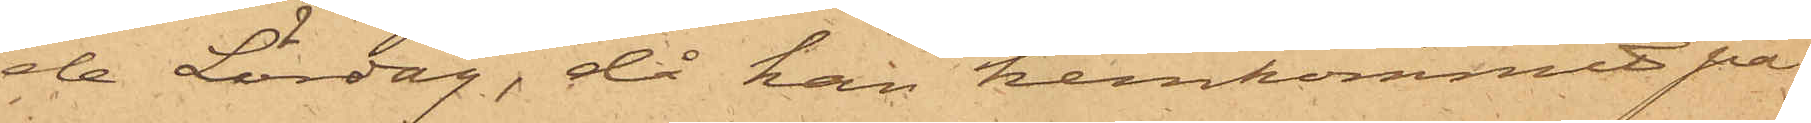de Lördag, då han hemkommit på
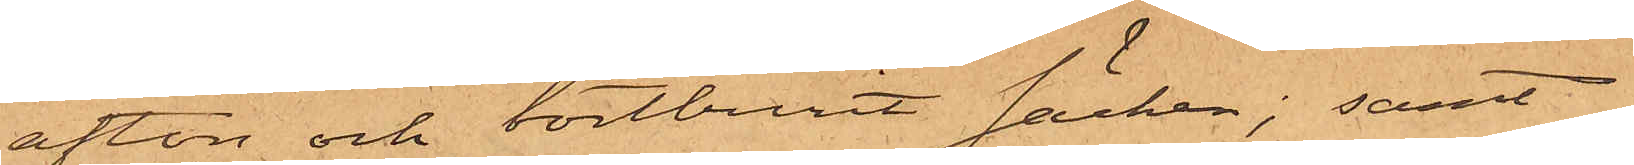afton och bortburit säcken; samt
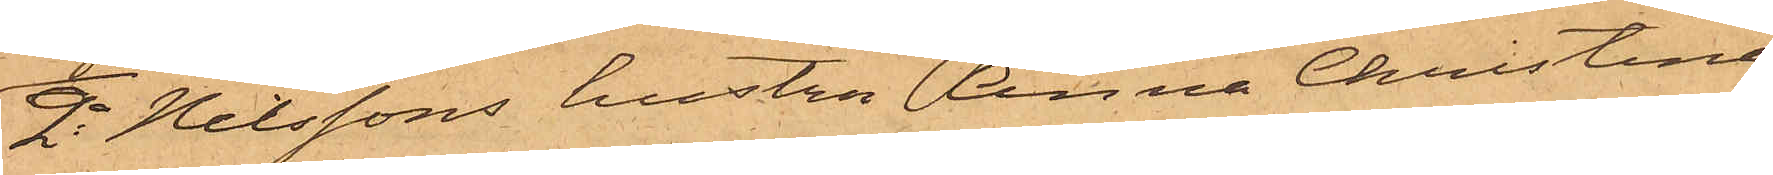2o Nilssons hustru Anna Christine
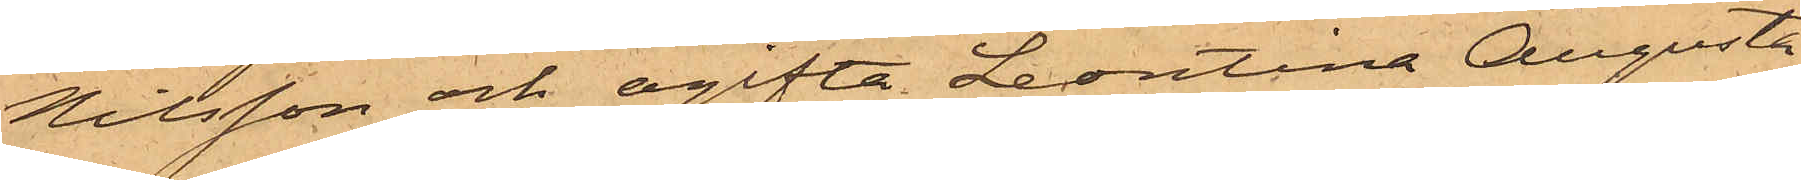Nilsson och ogifta Leontina Augusta
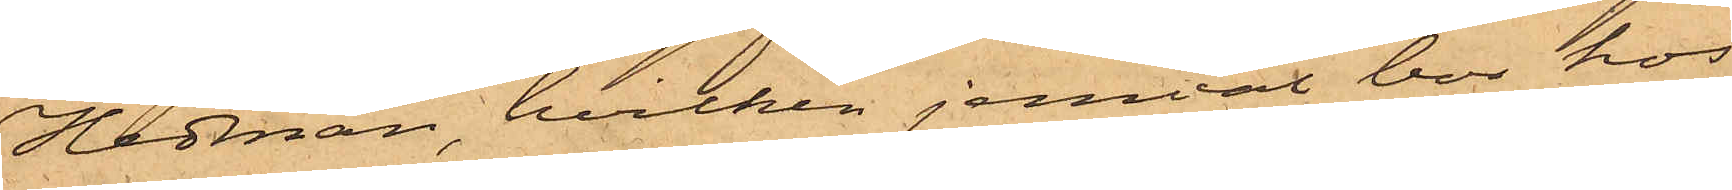Hedman, hvilken jemväl bor hos
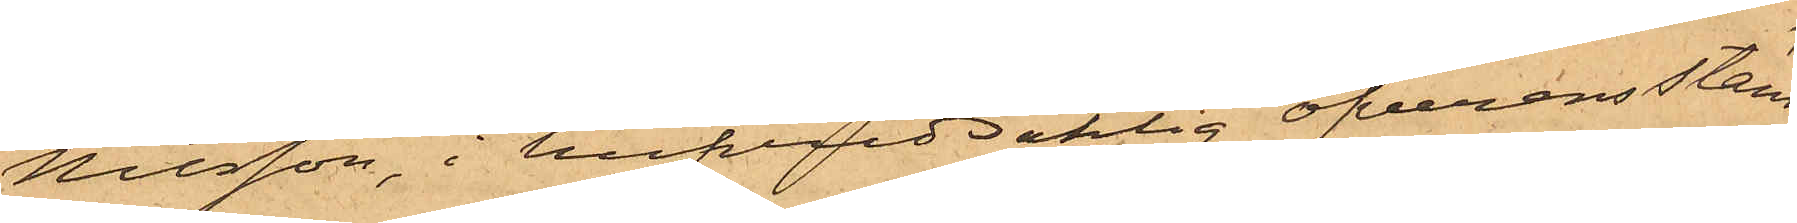Nilsson, i hufvudsaklig öfverensstäm¬
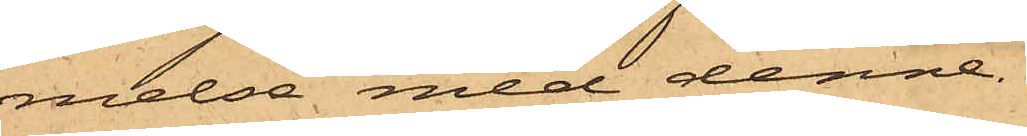melse med denne.
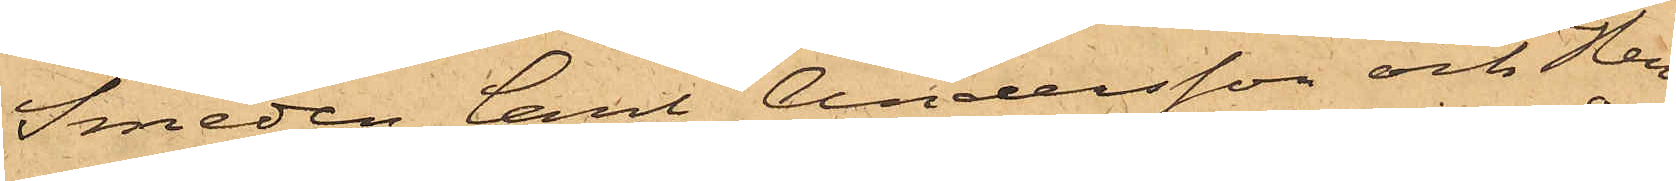Smeden Carl Andersson och Hem¬
